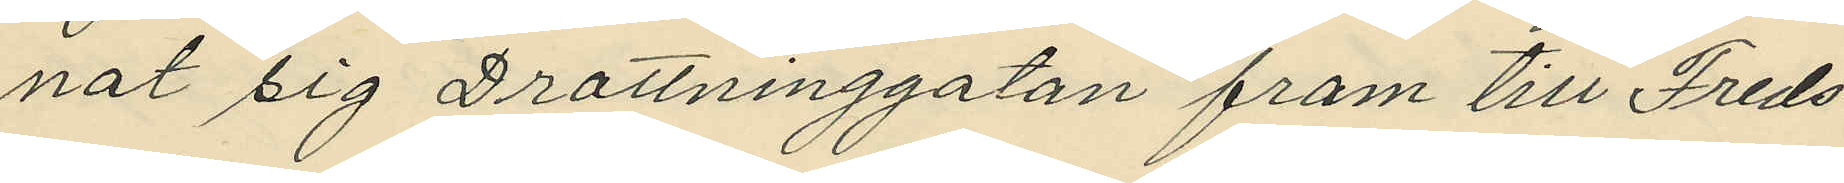nat sig Drottninggatan fram till Freds¬
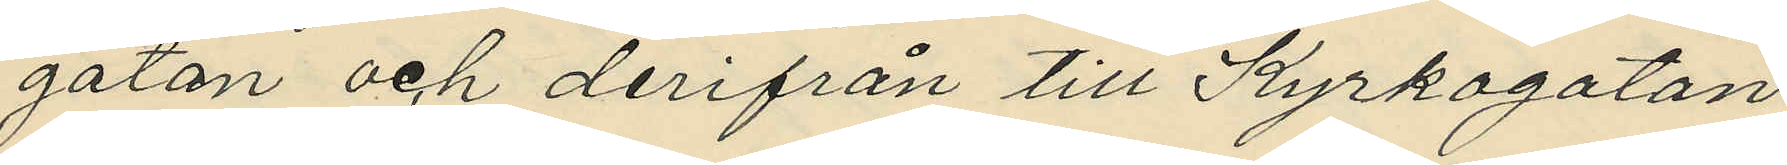gatan och derifrån till Kyrkogatan,
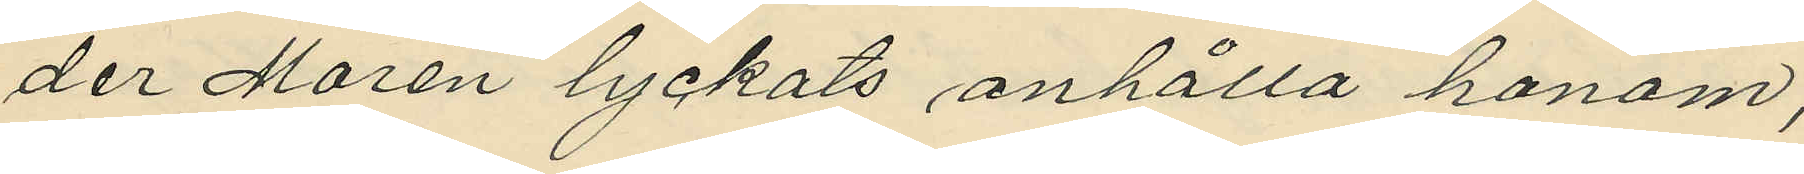der Morén lyckats anhålla honom;
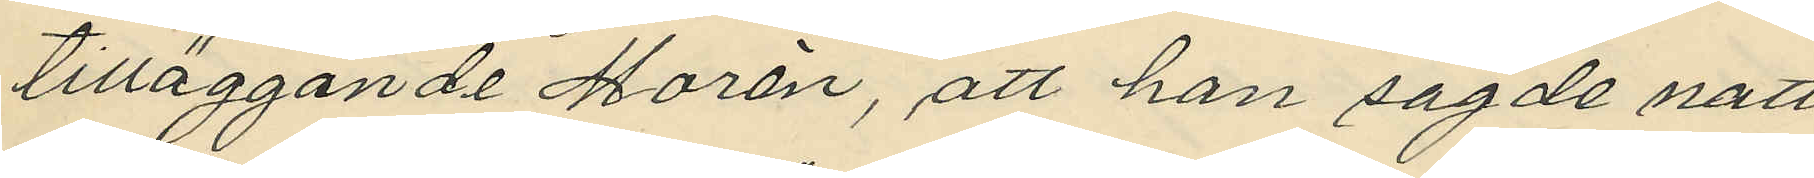tilläggande Morén, att han sagde natt
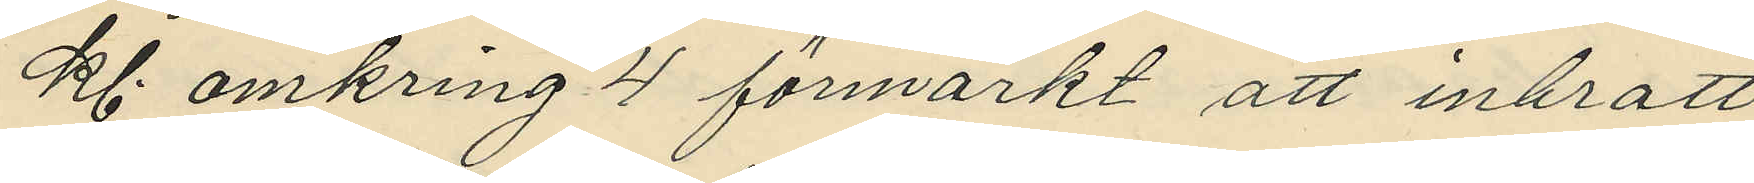kl. omkring 4 förmärkt att inbrott
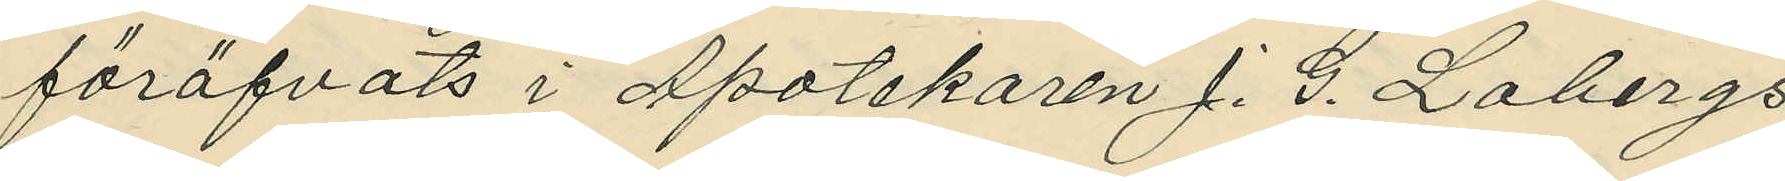föröfvats i Apotekaren J. G. Lobergs
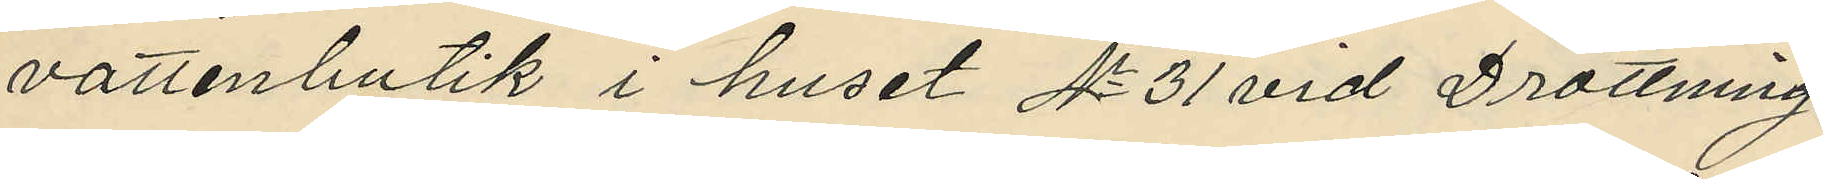vattenbutik i huset No 31 vid Drottning¬
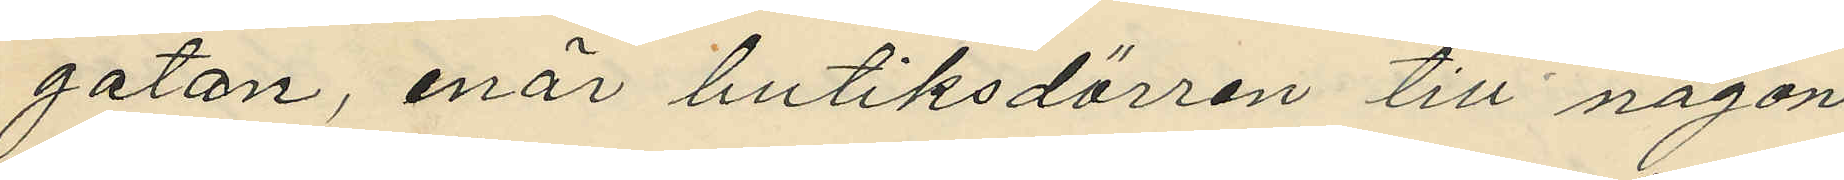gatan, enär butiksdörren till någon
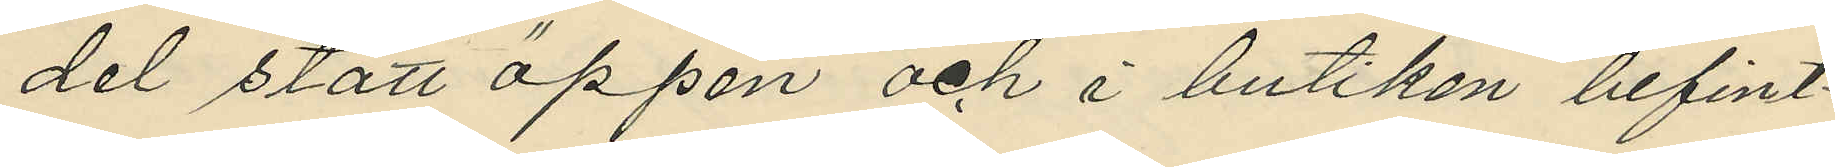del stått öppen och i butiken befint¬
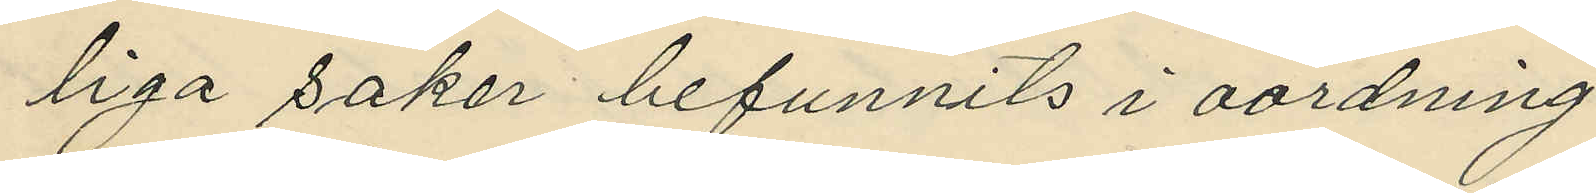liga saker befunnits i oordning.
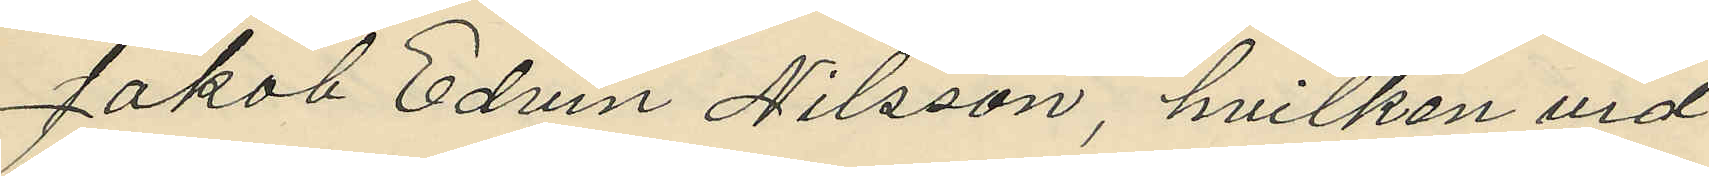Jakob Edvin Nilsson, hvilken vid  
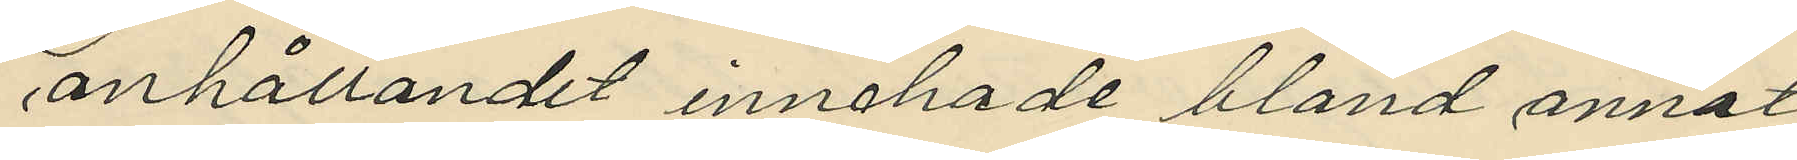anhållandet innehade bland annat
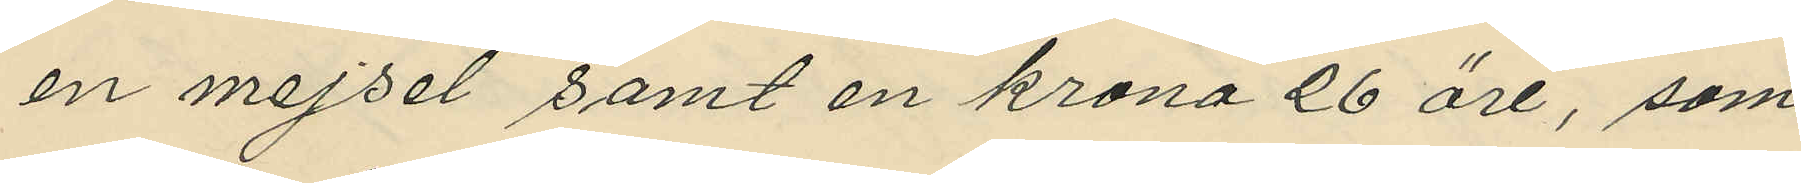en mejsel samt en krona 26 öre, som
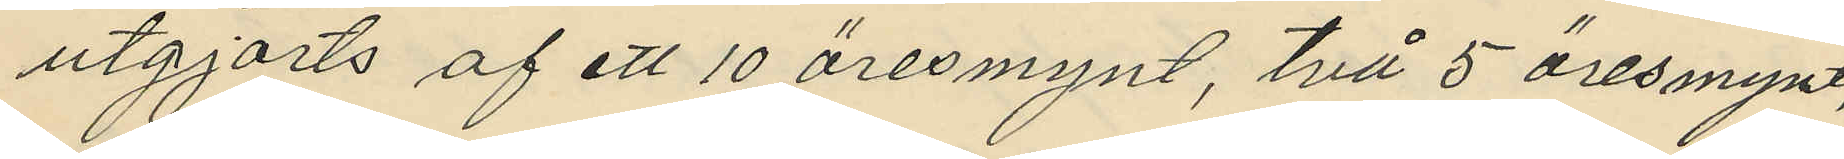utgjorts af ett 10 öresmynt, två 5 öresmynt,
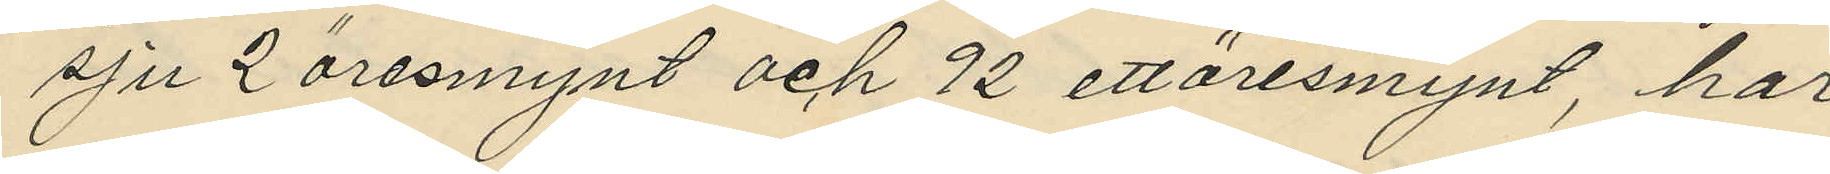sju 2 öresmynt och 92 ettöresmynt, har
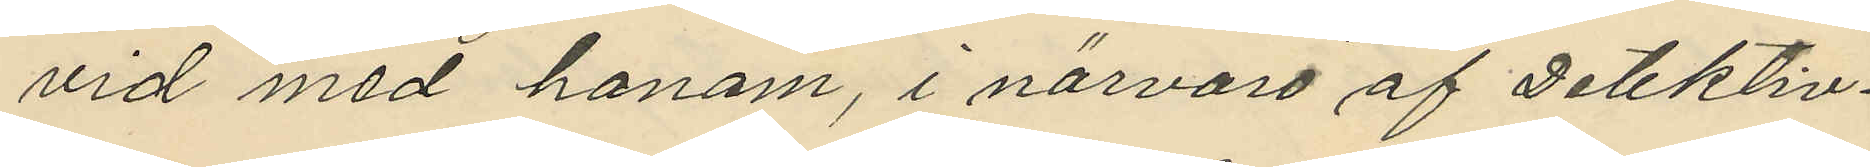vid med honom, i närvaro af Detektiv¬
